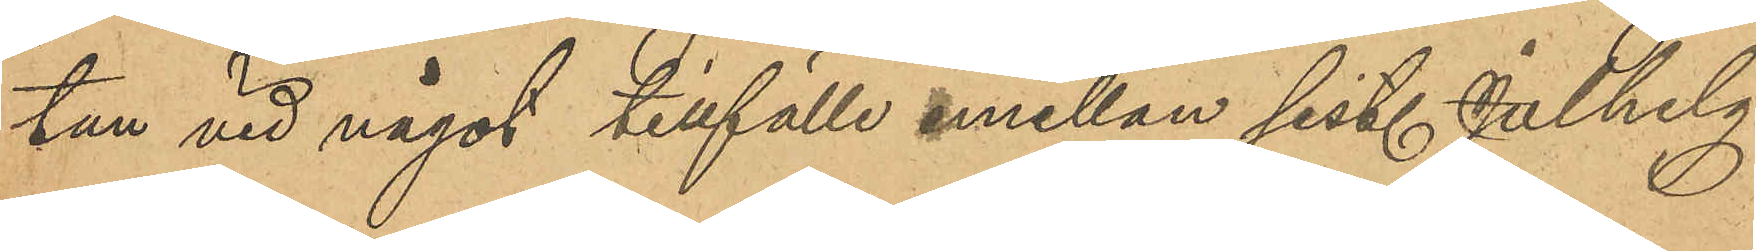tan vid något tillfälle emellan sist. Julhelg
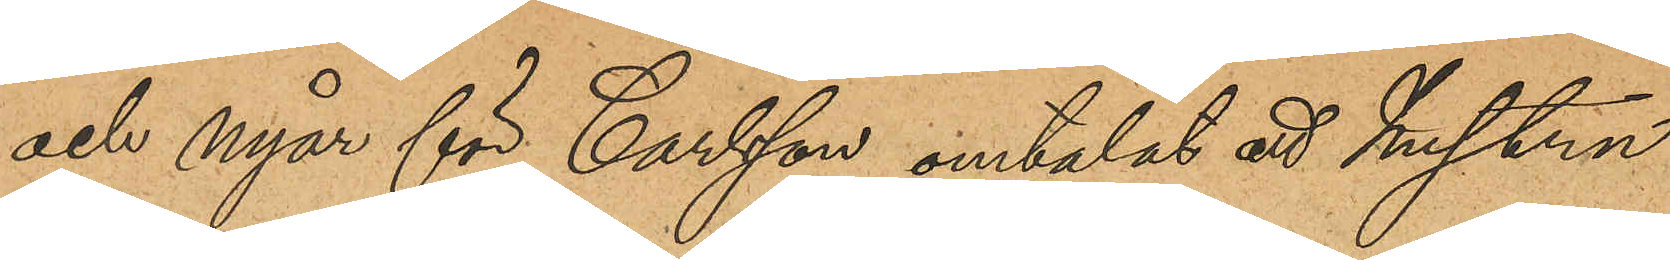och nyår för Carlsson omtalat att hustrun
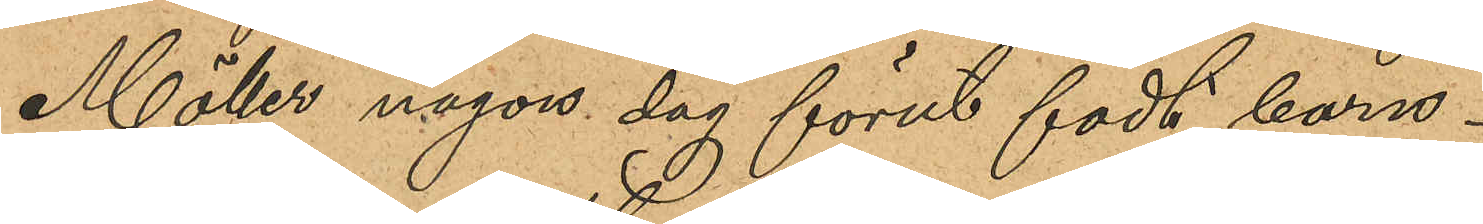Möller någon dag förut födt barn.
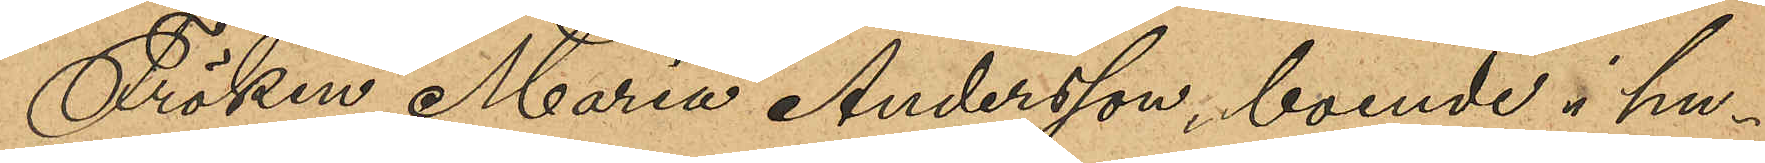Fröken Maria Andersson, boende i hu¬
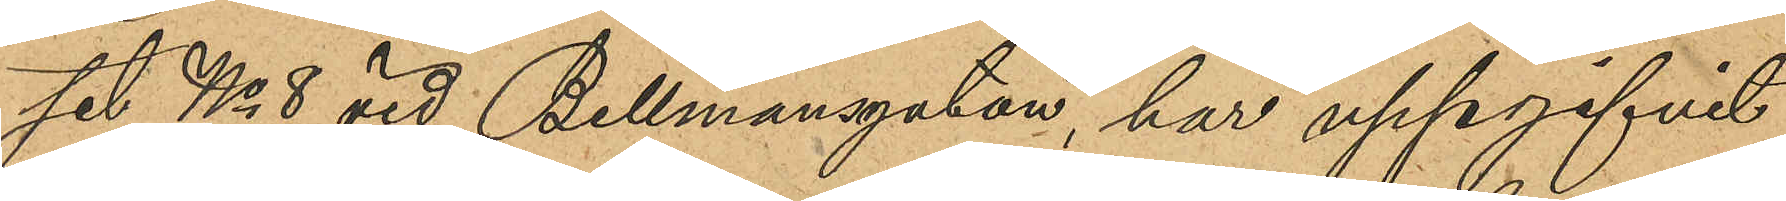set No 8 vid Bellmansgatan, har uppgifvit
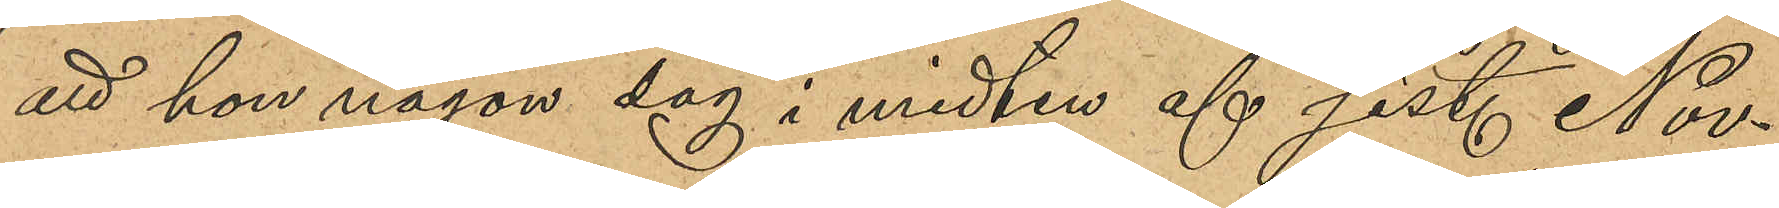att hon någon dag i midten af sist. Nov.
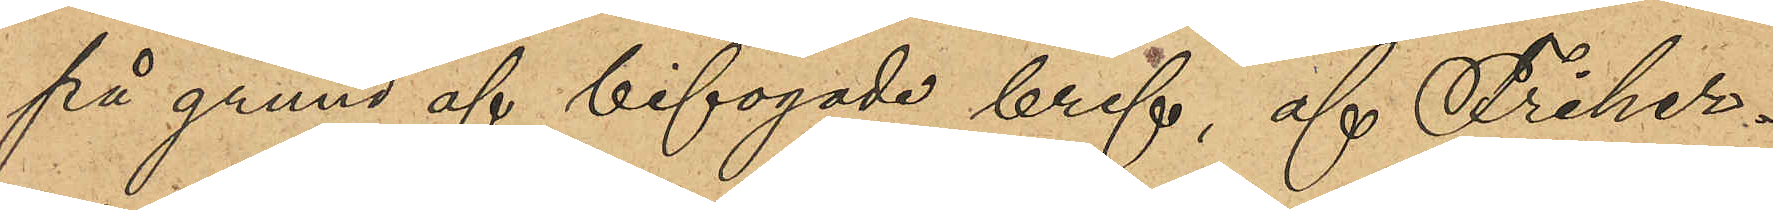på grund af bifogade bref, af Friher¬
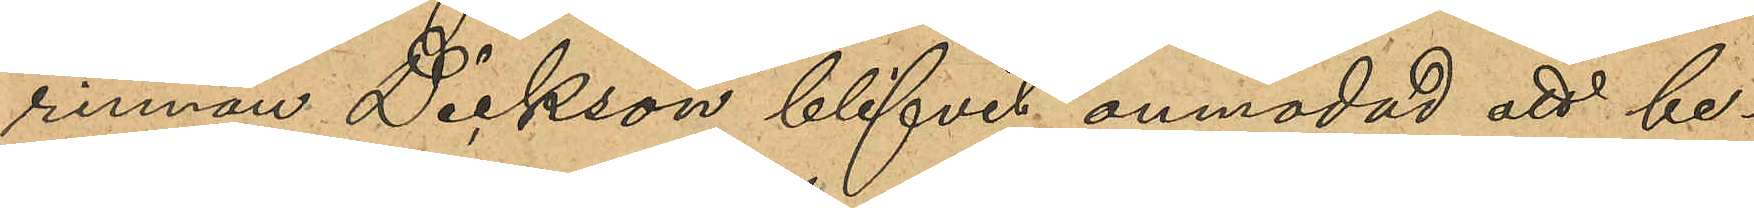rinnan Dickson blifvit anmodad att be¬
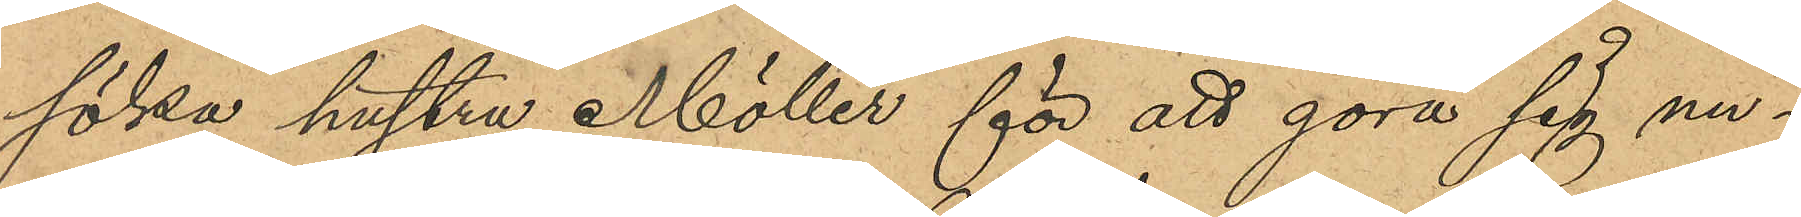söka hustru Möller för att göra sig un¬
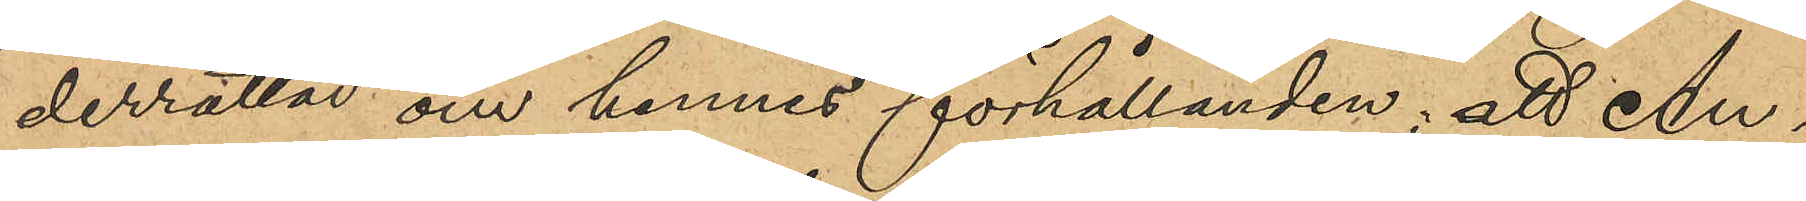derrättad om hennes förhållanden; att An¬
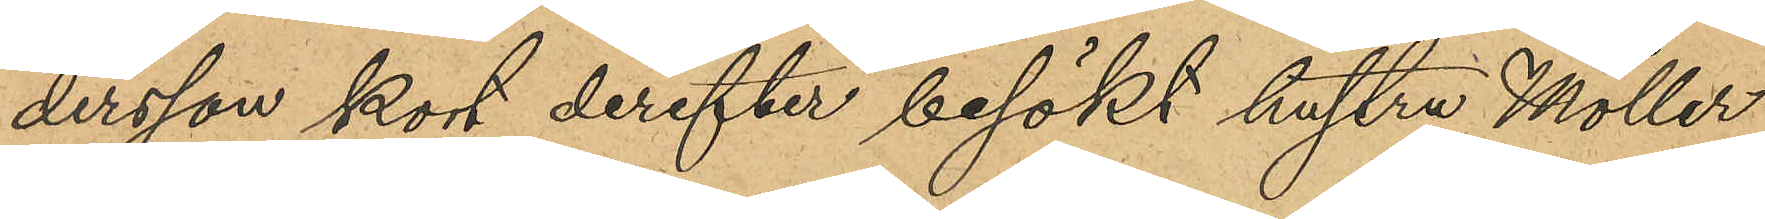dersson kort derefter besökt hustru Möller,
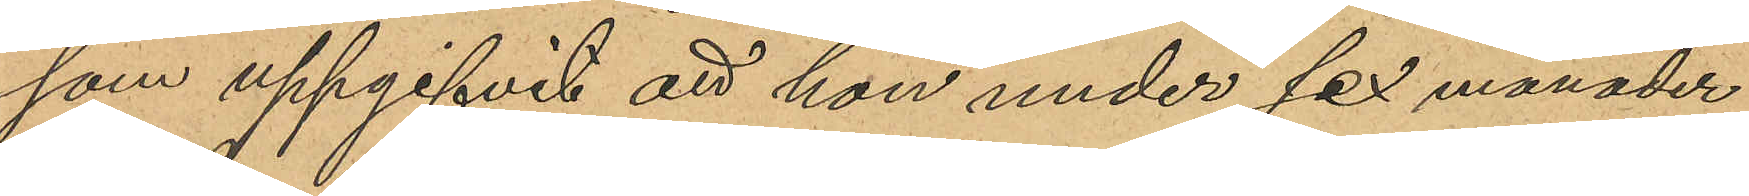som uppgifvit att hon under sex månader
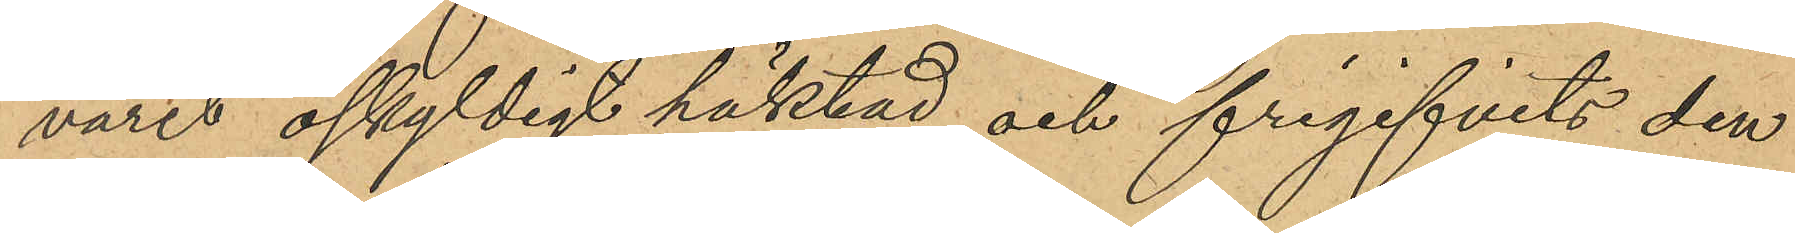varit oskyldigt häktad och frigifvits den
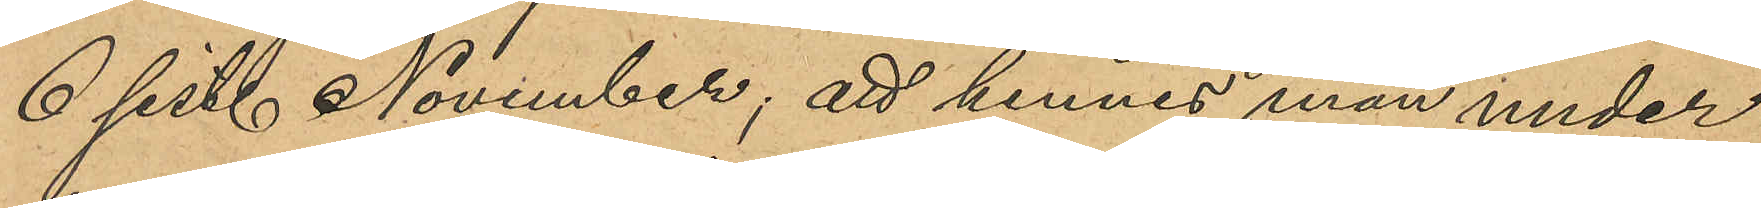6 sist. November; att hennes man under
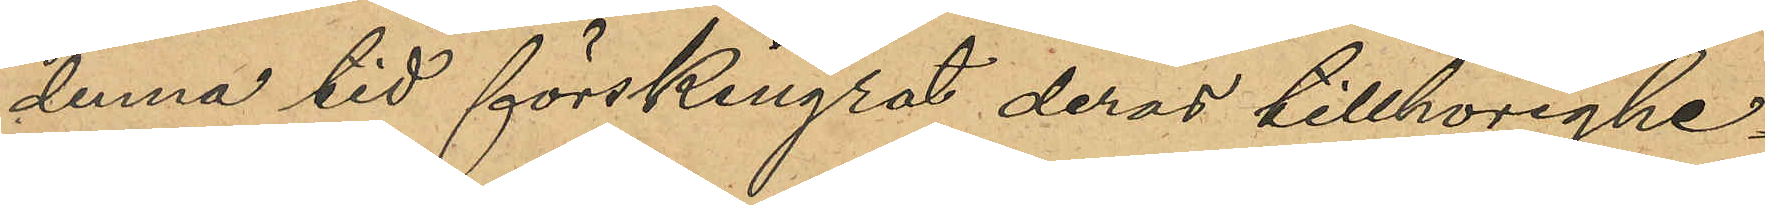denna tid förskingrat deras tillhörighe¬
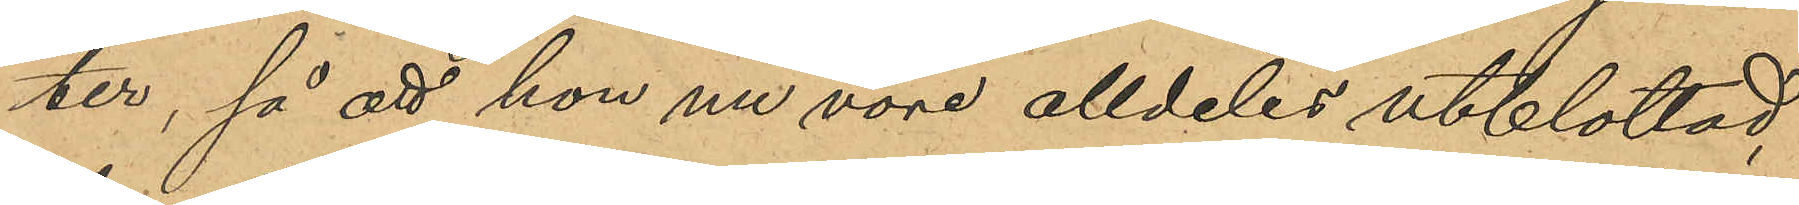ter, så att hon nu vore alldeles utblottad,
